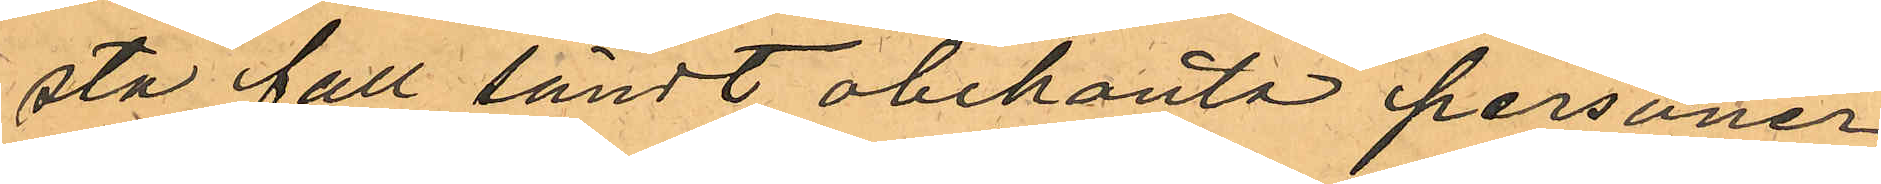sta fall sändt obekanta personer,
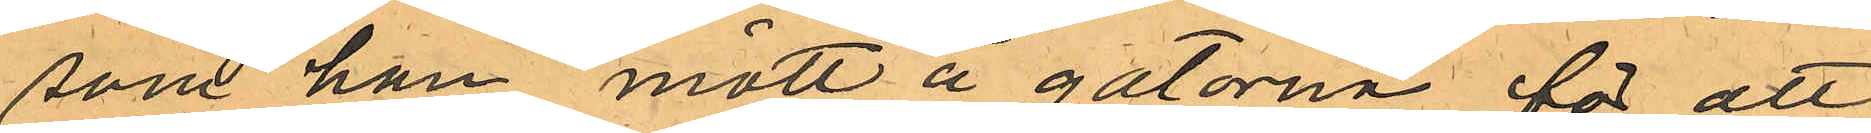som han mött å gatorna för att
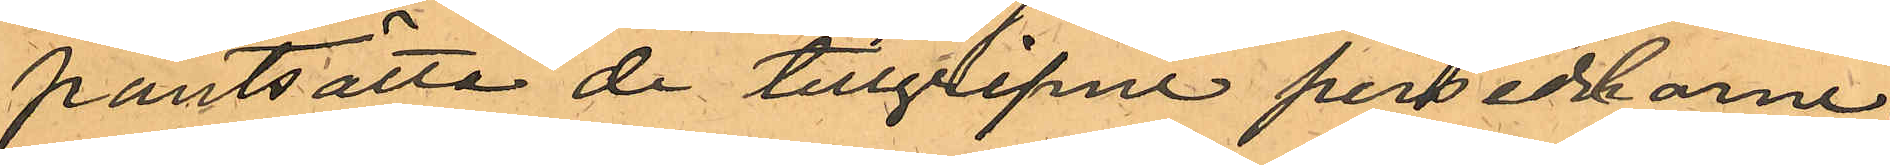pantsätta de tillgripne persedlarne.
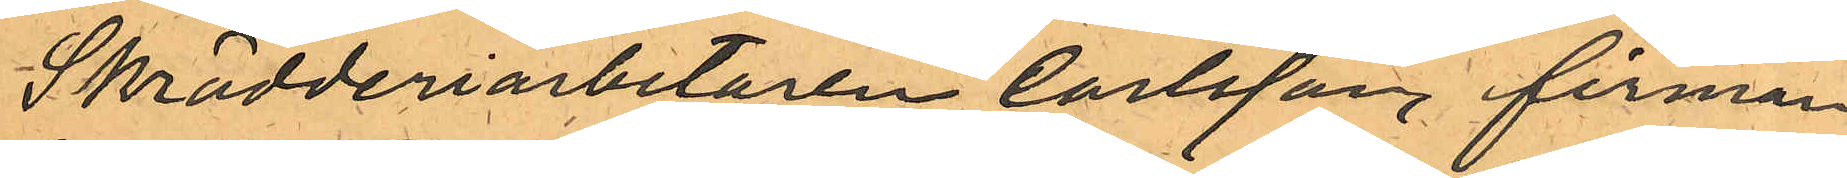Skrädderiarbetaren Carlsson, firman
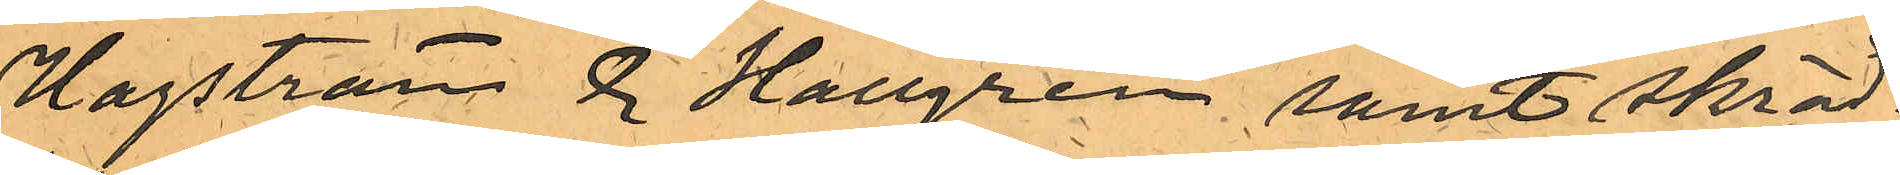Hagström & Hallgren samt skräd¬
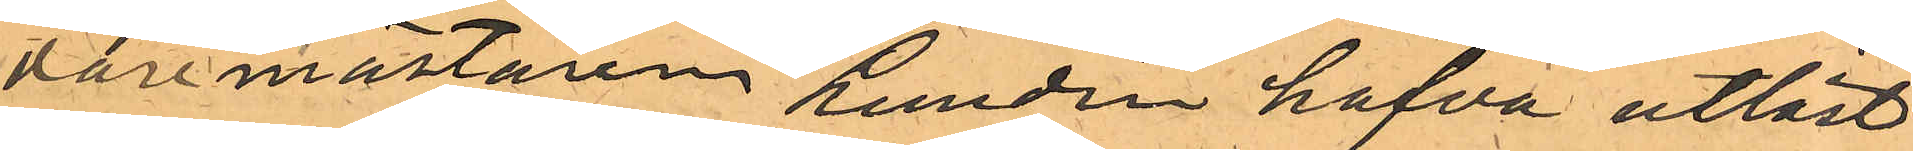daremästaren Lundin hafva utlöst
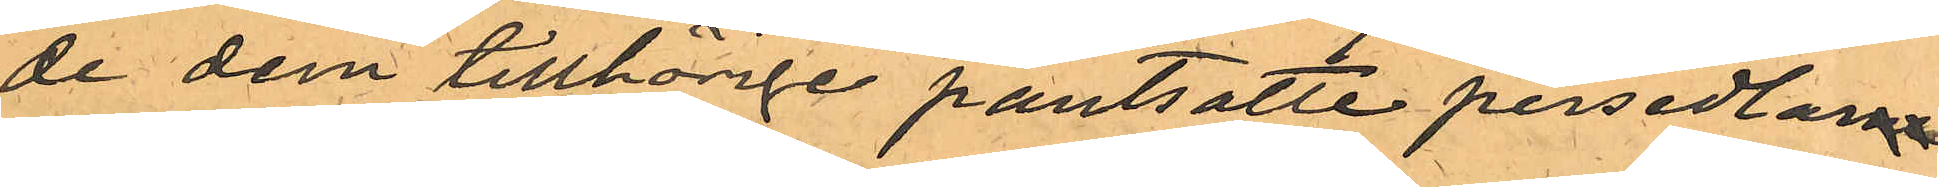de dem tillhörige pantsatte persedlarne
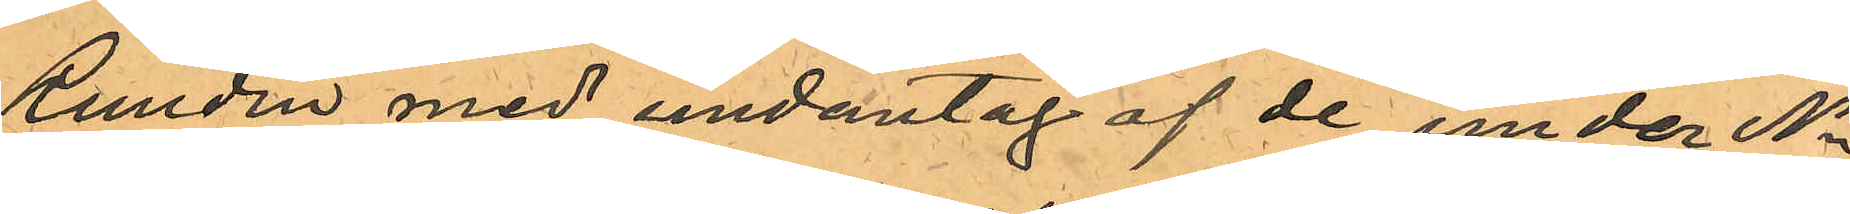Rundin med undantag af de under No
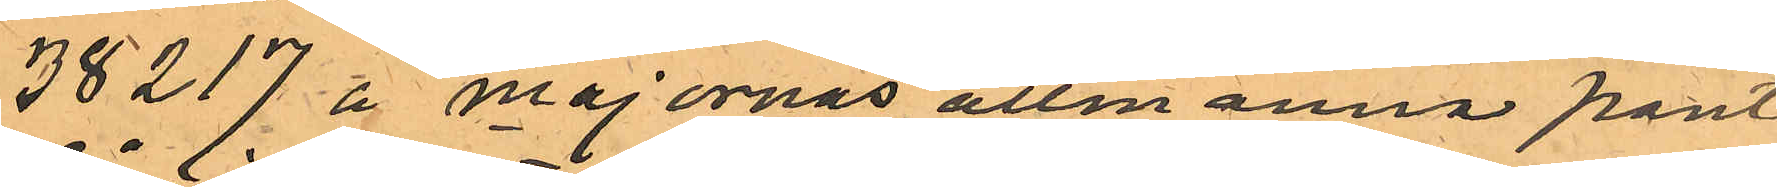38217 å Majornas allmänna pant¬
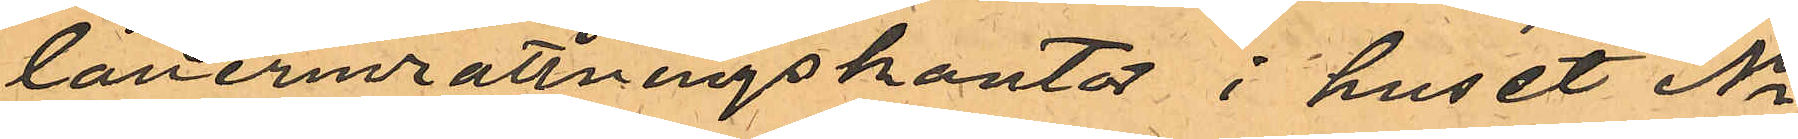låneinrättningskontor i huset No
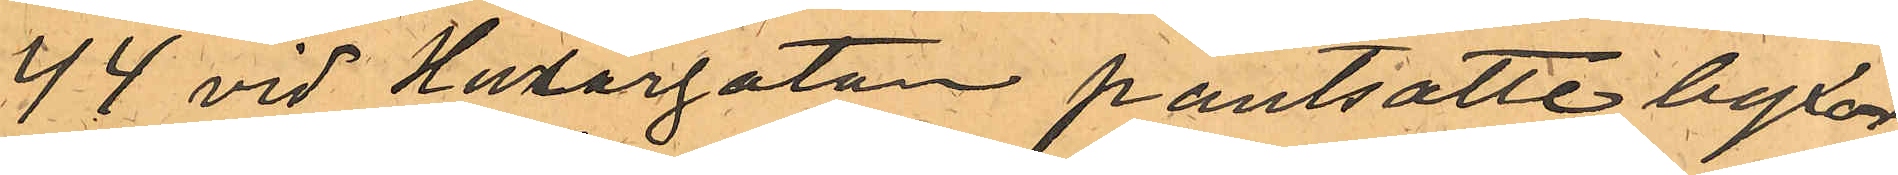44 vid Husargatan pantsatte byxor,
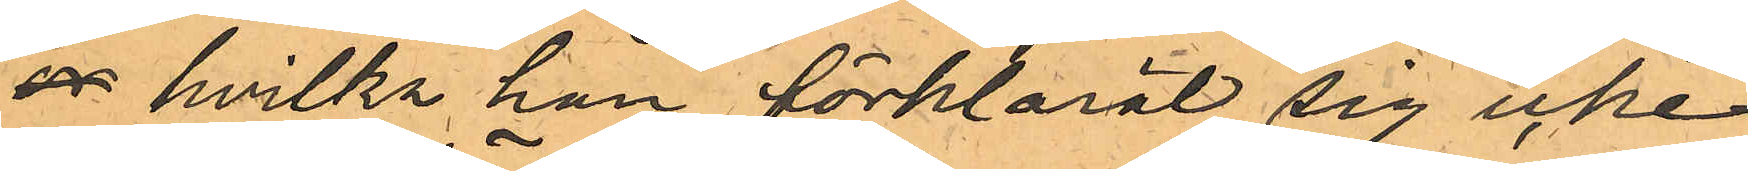ov hvilka han förklarat sig icke 
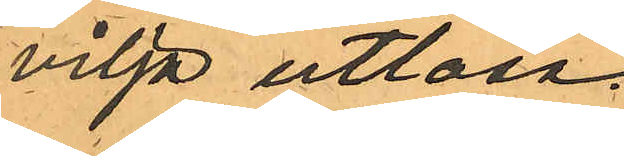vilja utlösa.
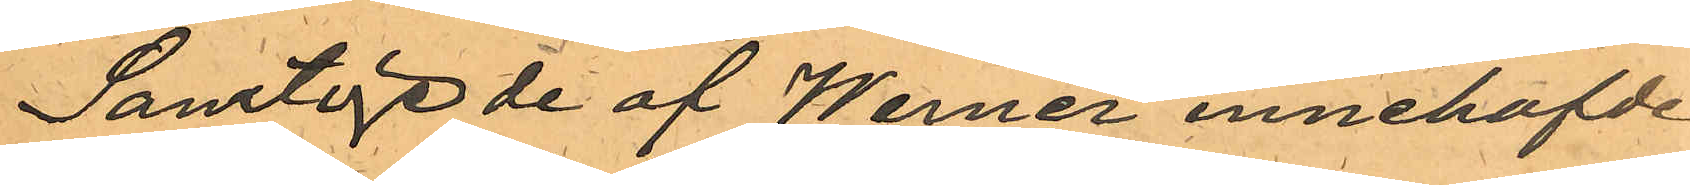Samtlige de af Werner innehafde
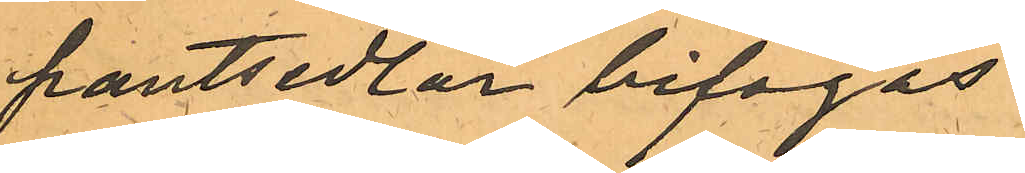pantsedlar bifogas.
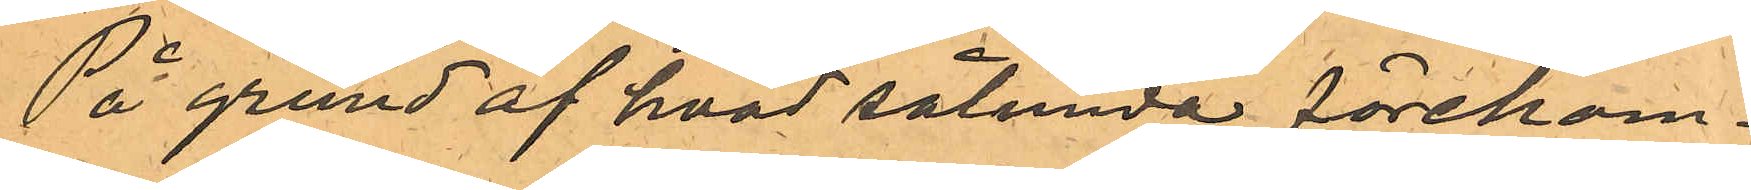På grund af hvad sålunda förkom¬
